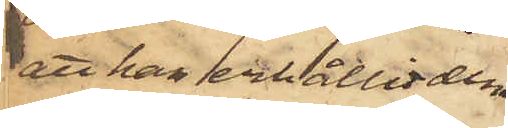att han erhållit dem
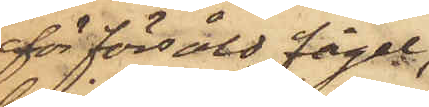för försåld fågel,
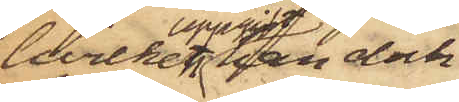hvilken uppgift han dock
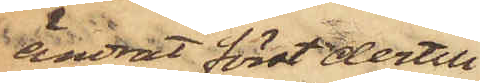ändrat först dertill
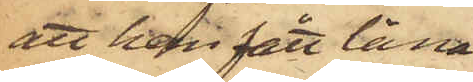att han fått låna
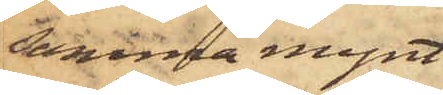samma mynt
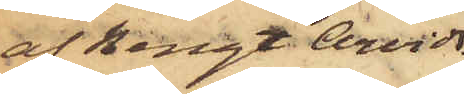af Bengt Arvids¬
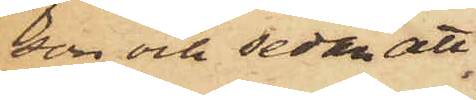son och sedan att
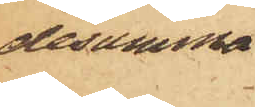desamma
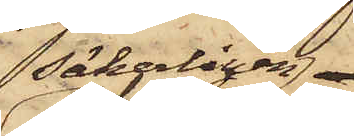säkerligen
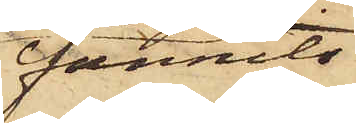funnits
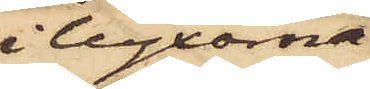i byxorna
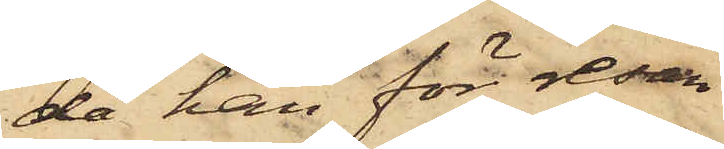då han för resan
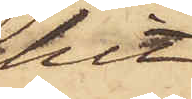hit
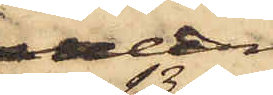den 13 ds
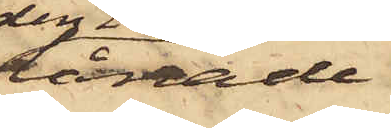 lånade
